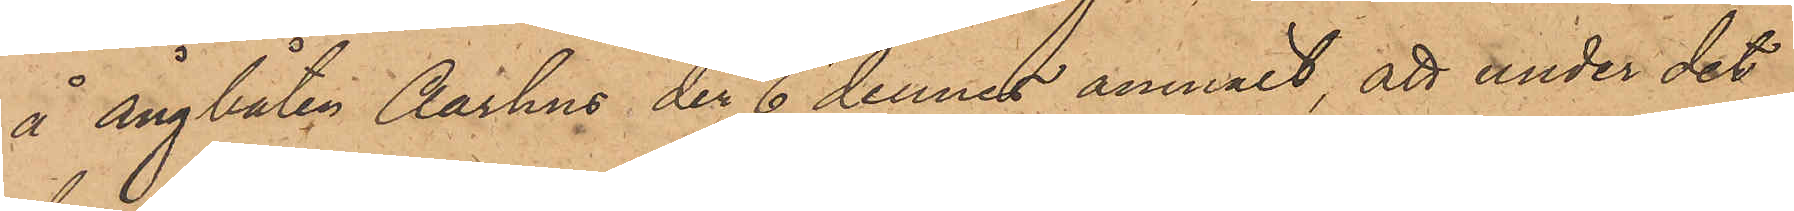å Ångbåten Aarhus den 6 dennes anmält, att under det
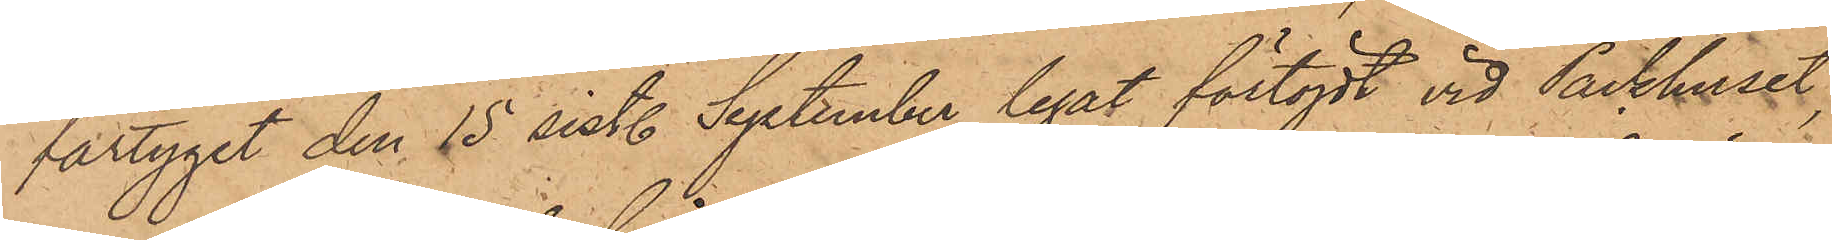fartyget den 15 sist. September legat förtöjdt vid Packhuset,
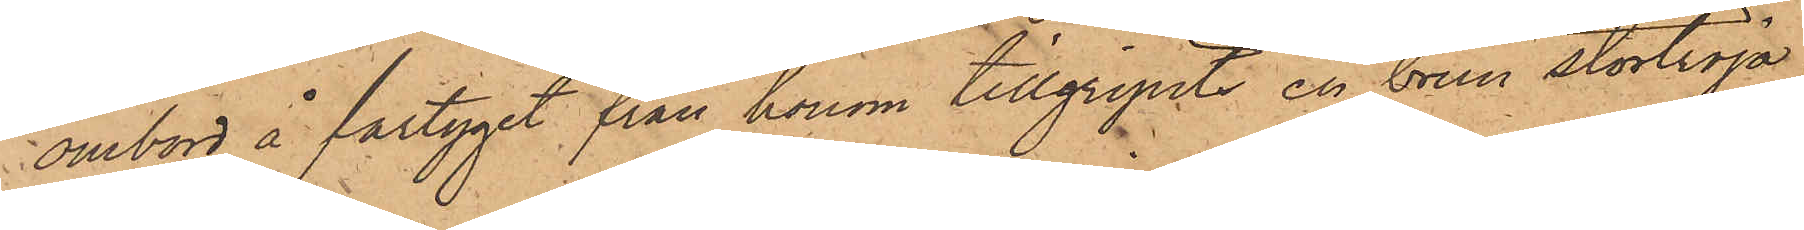ombord å fartyget från honom tillgripits en brun stortröja,
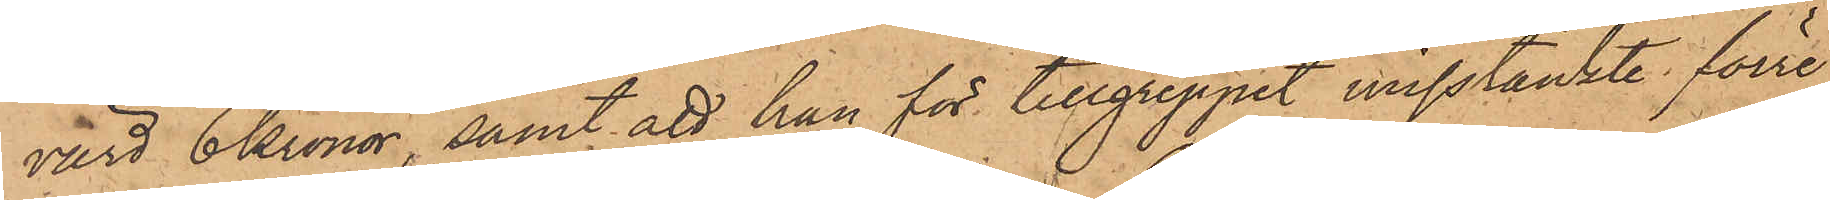värd 6 Kronor, samt att han för tillgreppet misstänkte förre
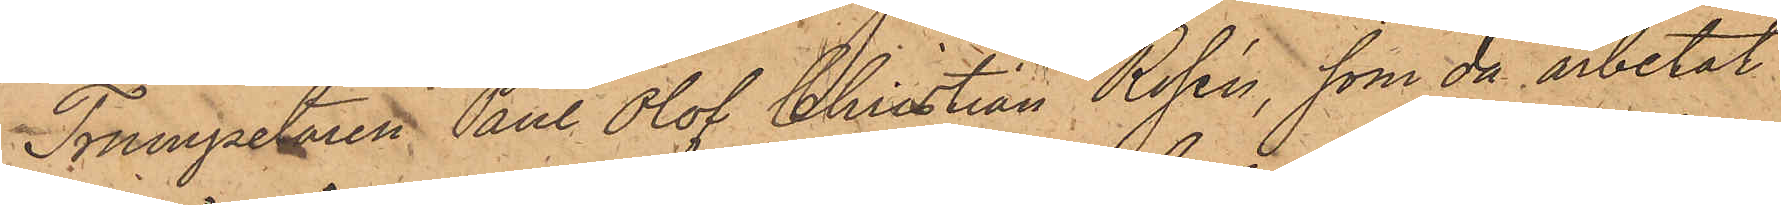Trumpetaren Paul Olof Christian Rosén, som då arbetat
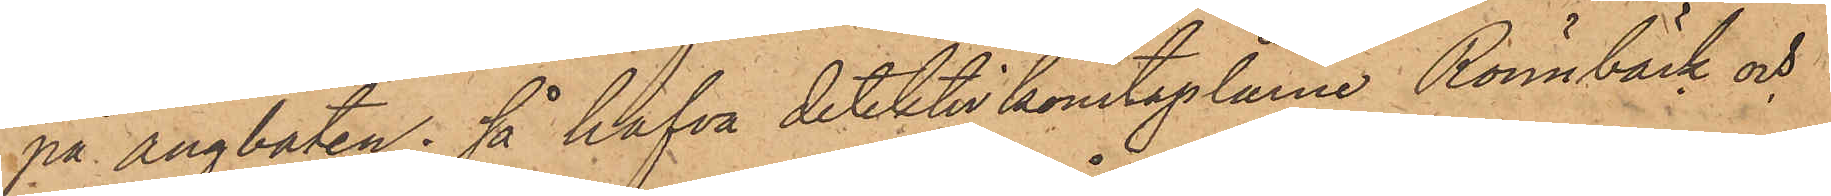på ångbåten; så hafva detektivkonstaplarne Rönnbäck och
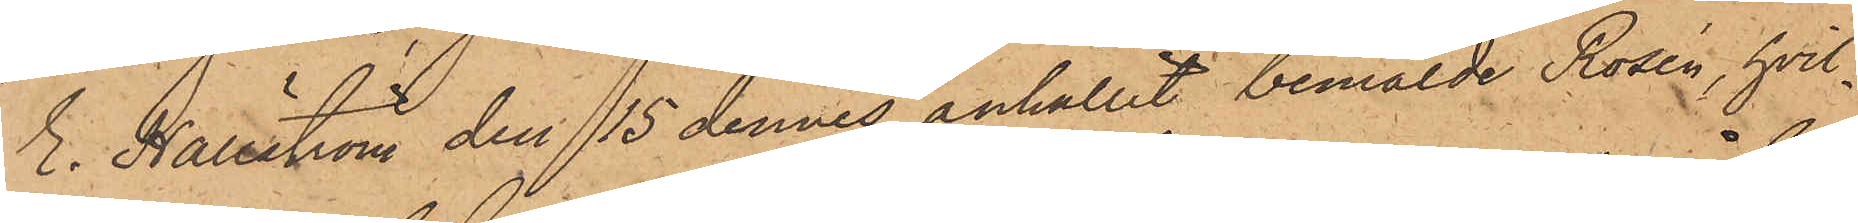E. Hällström den 15 dennes anhållit bemälde Rosén, hvil¬
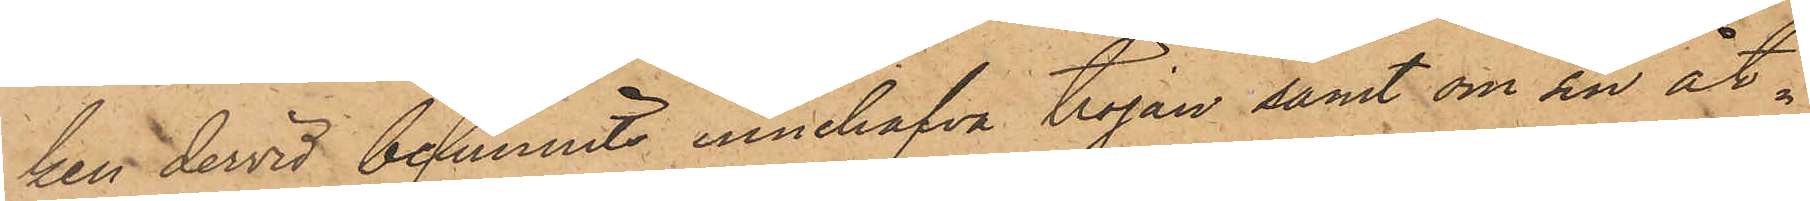ken dervid befunnits innehafva tröjan samt om sin åt¬
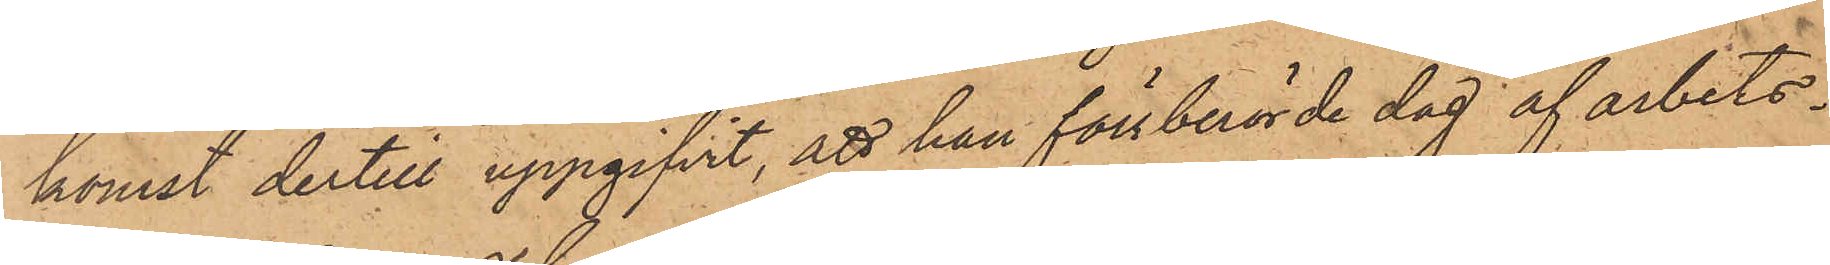komst dertill uppgifvit, att han förstberörde dag af arbets¬
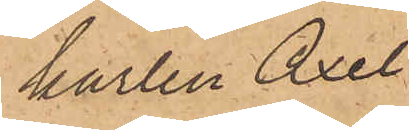karlen Axel
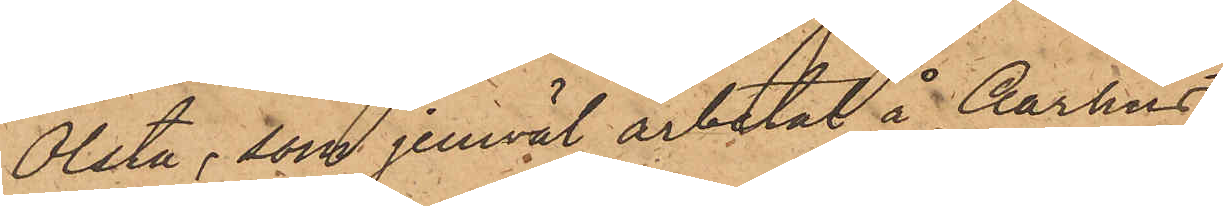Olsta, som jemväl arbetat å Aarhus,
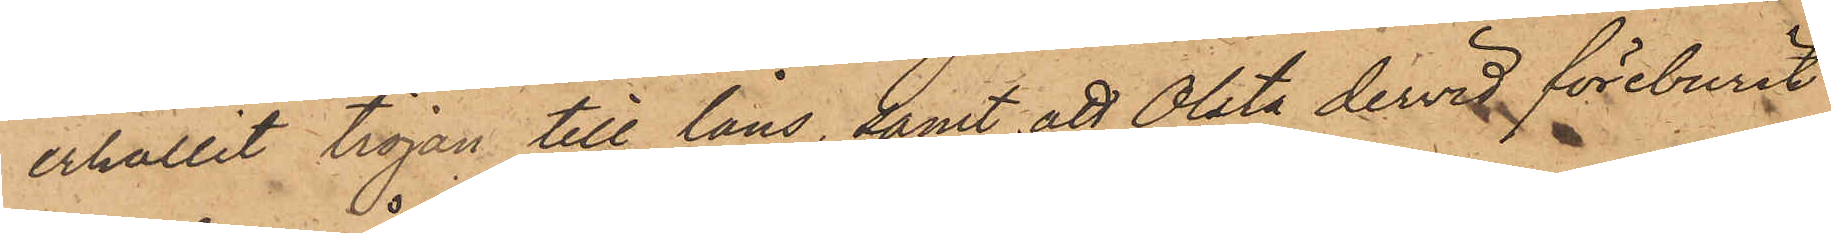erhållit tröjan till låns, samt att Olsta dervid föreburit
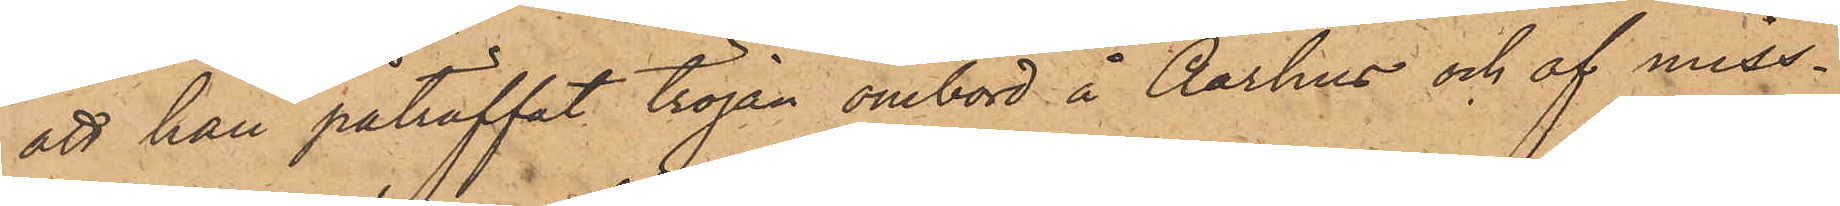att han påträffat tröjan ombord å Aarhus och af miss¬
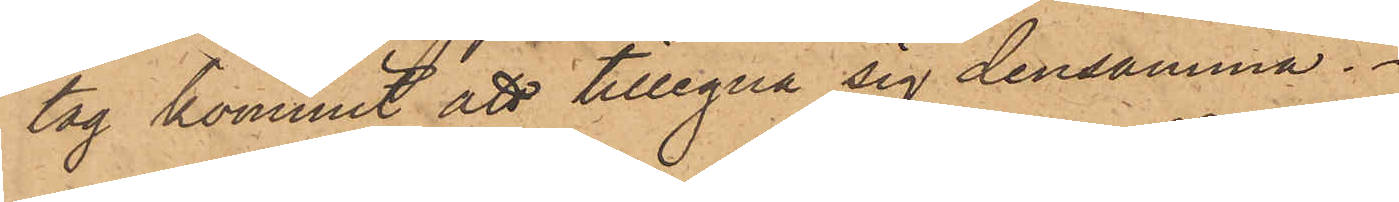tag kommit att tillegna sig densamma.
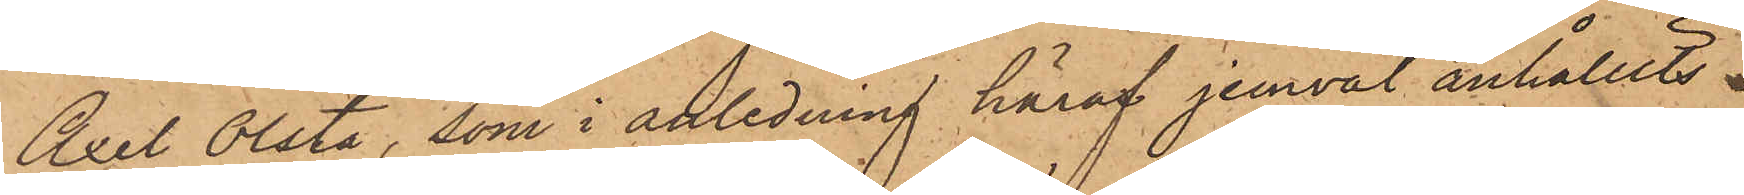Axel Olsta, som i anledning häraf jemväl anhållits
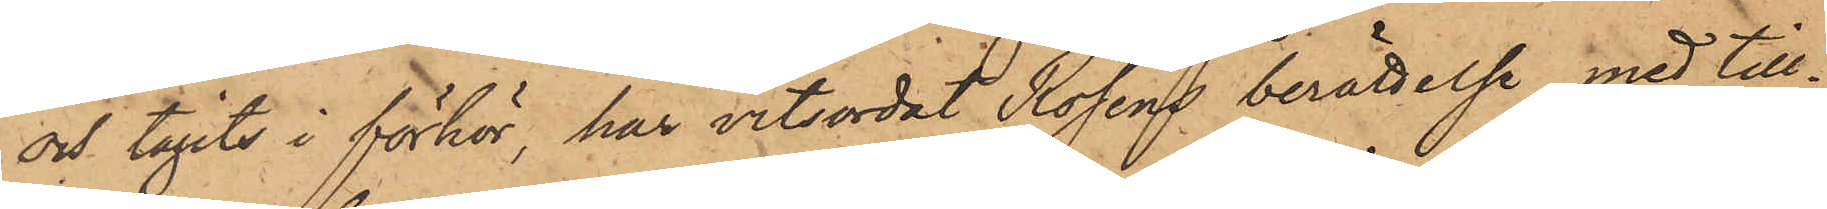och tagits i förhör, har vitsordat Roséns berättelse, med till¬
